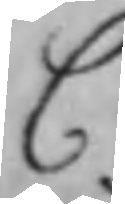C
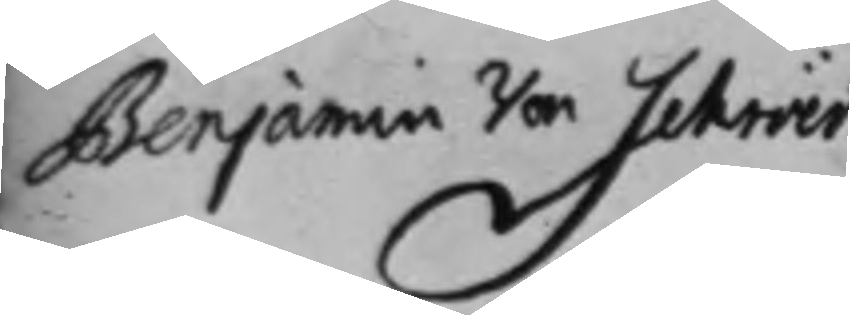Benjamin Von Schröer
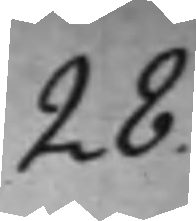28.
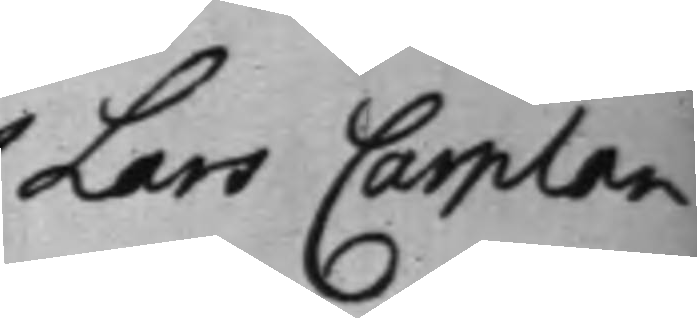Lars Carplan
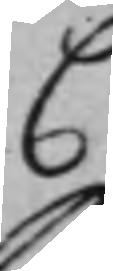C
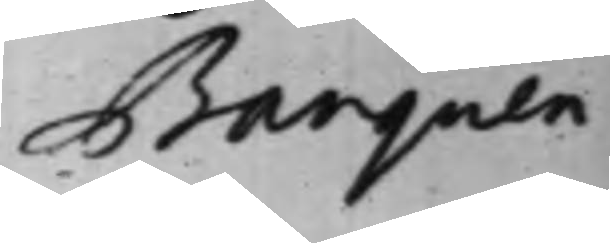Banquen.
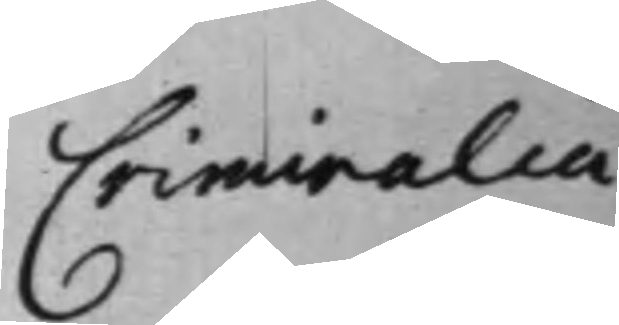Criminalia
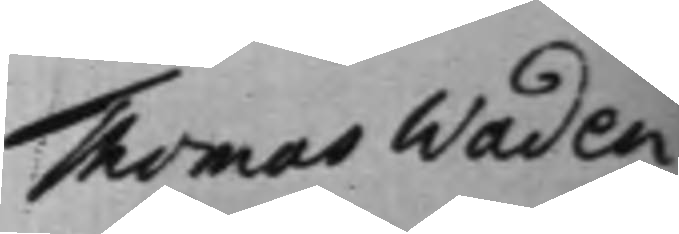Thomas Waden
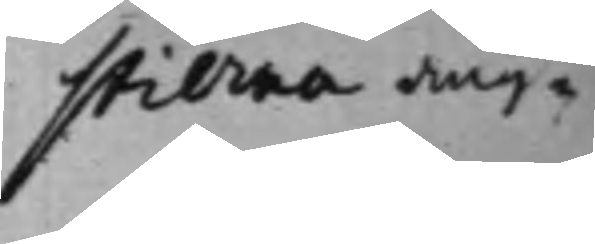stierna ang:de
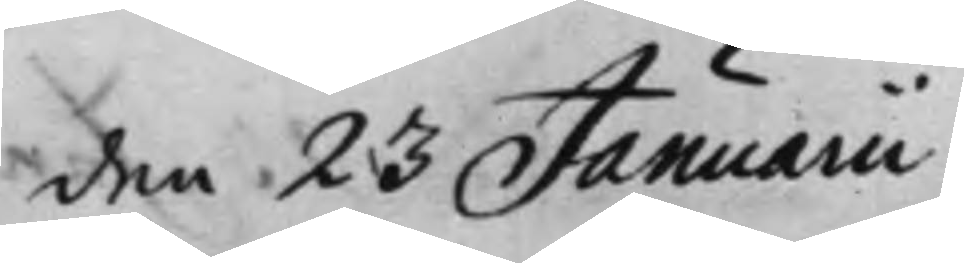den 23 Januarii
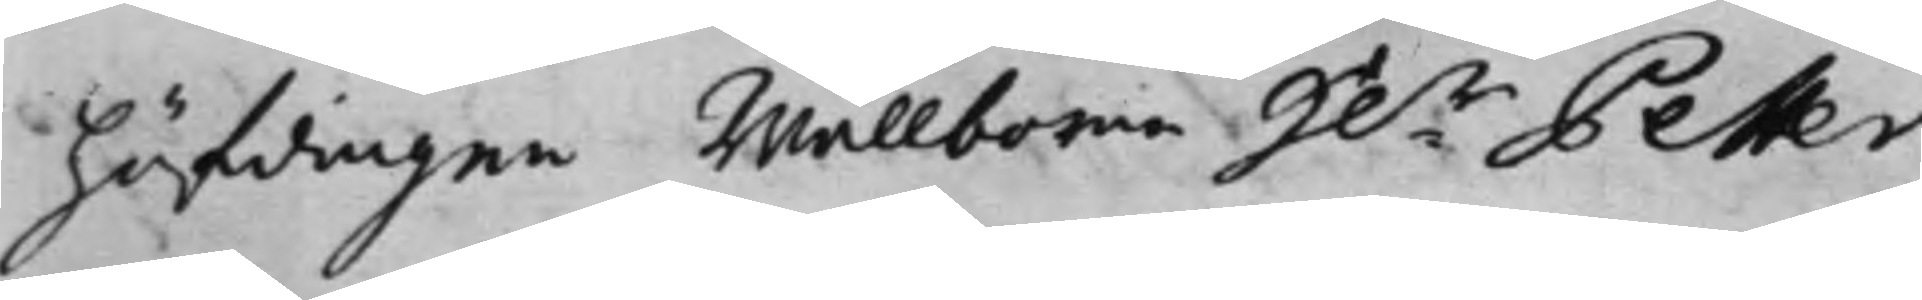höfdingen Wällborne H:r Petter
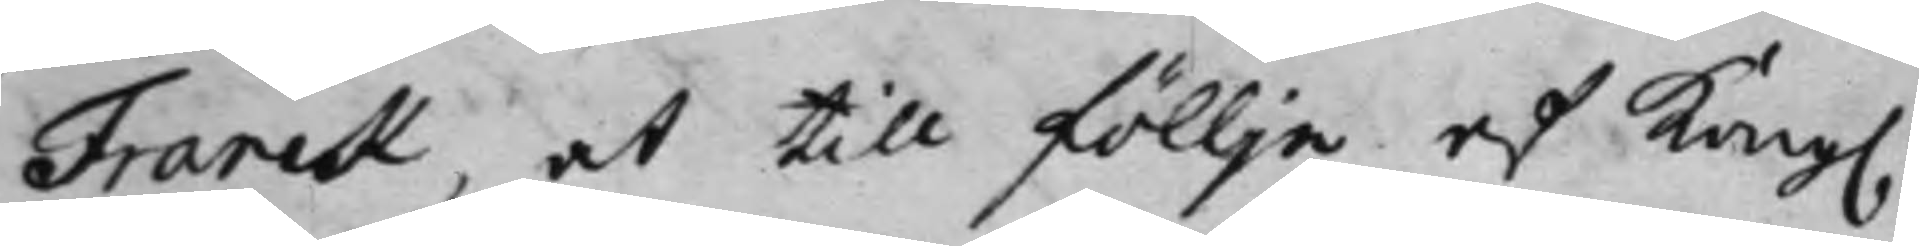Franck, at Till föllje af Kong.
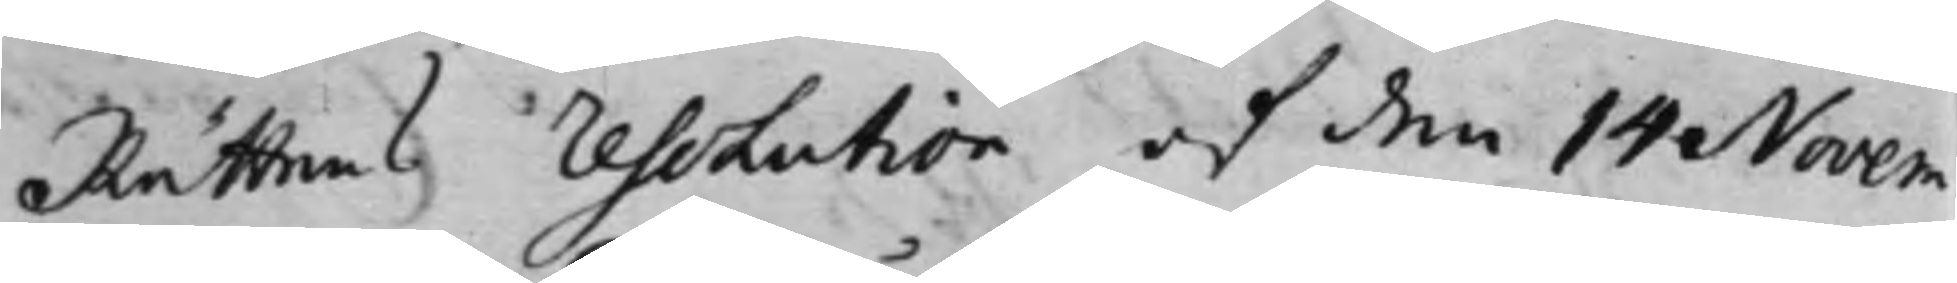Rättens resolution af den 14 Novem¬
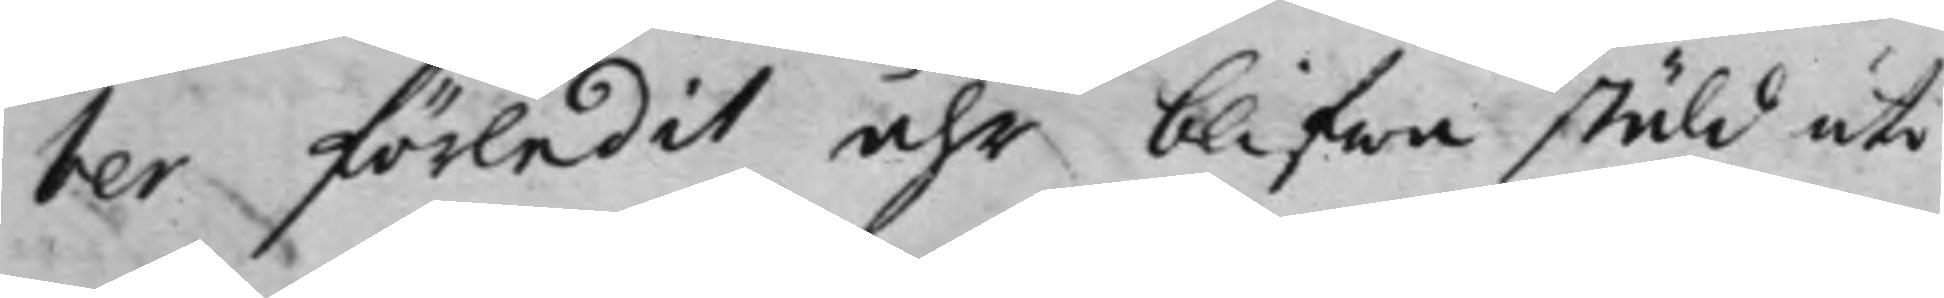ber förledit åhr blifwa stäld uti
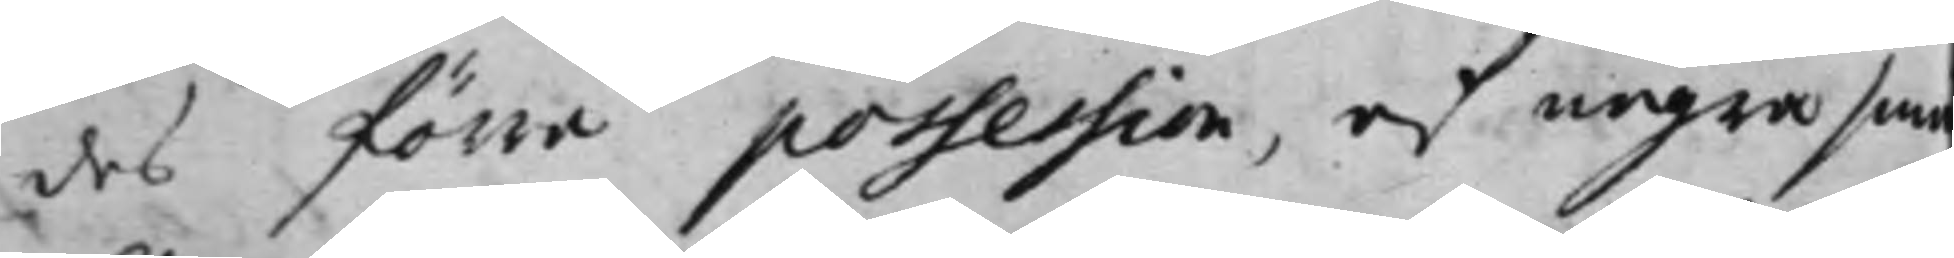des förra possession, af några sma
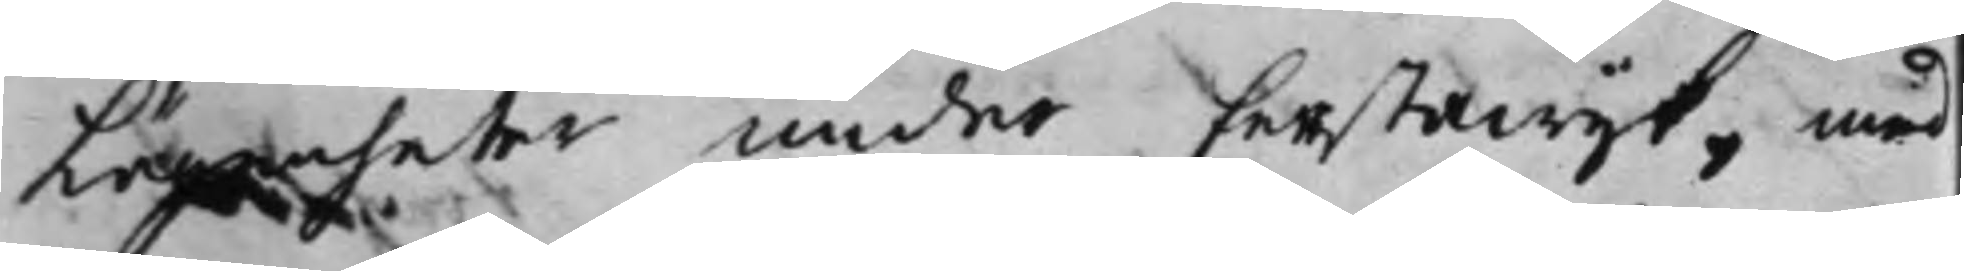Lägenheter under Eerstawijk, med
